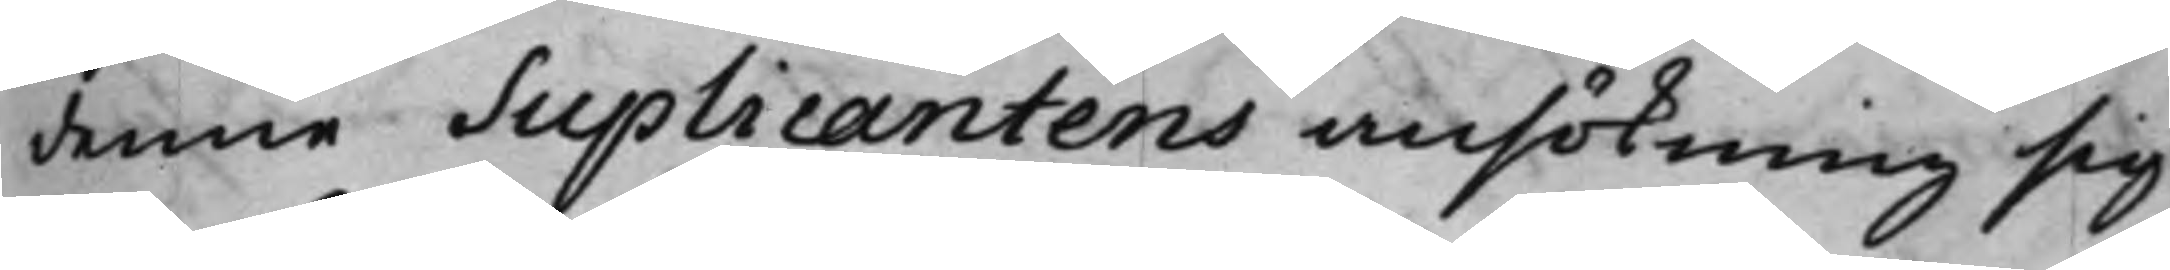denne Suplicantens ansökning sig
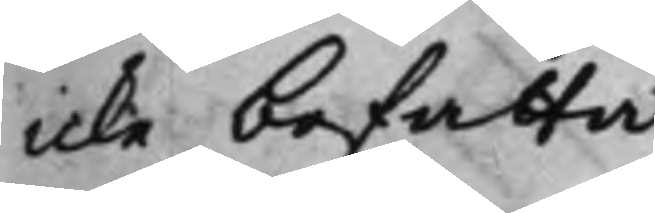icke befatta.
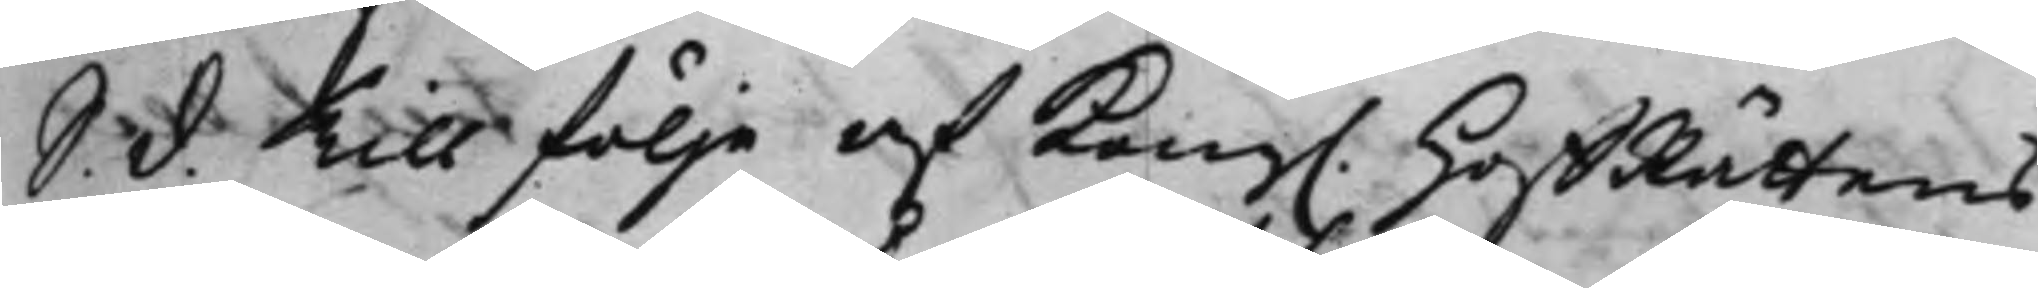S. d. Till föllje af Kong. HoffRättens
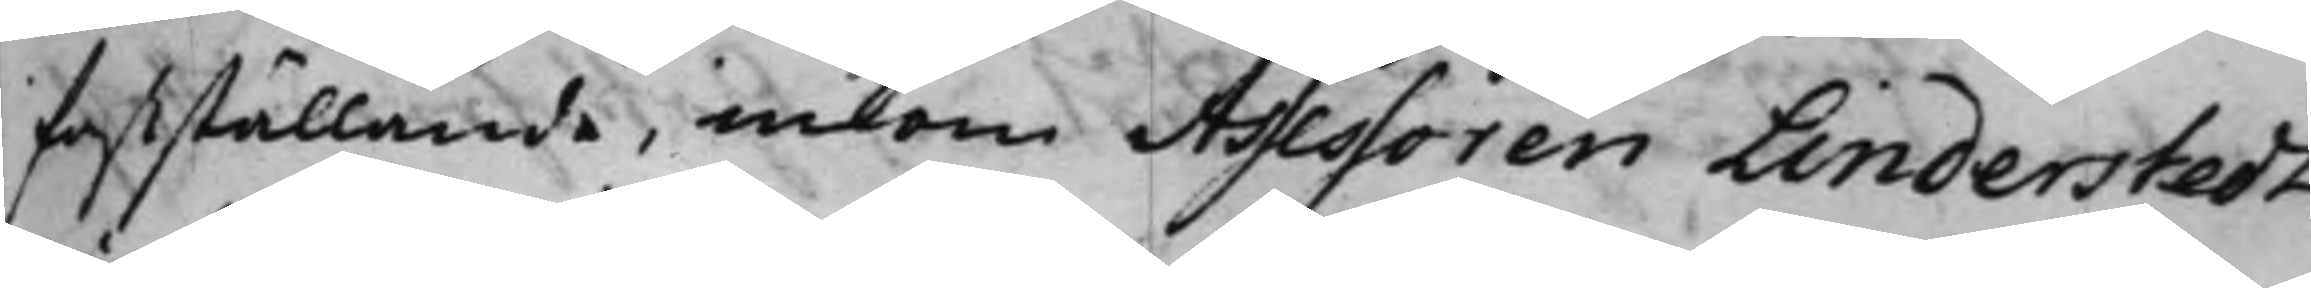fastställande, inkom Assessoren Linderstedt
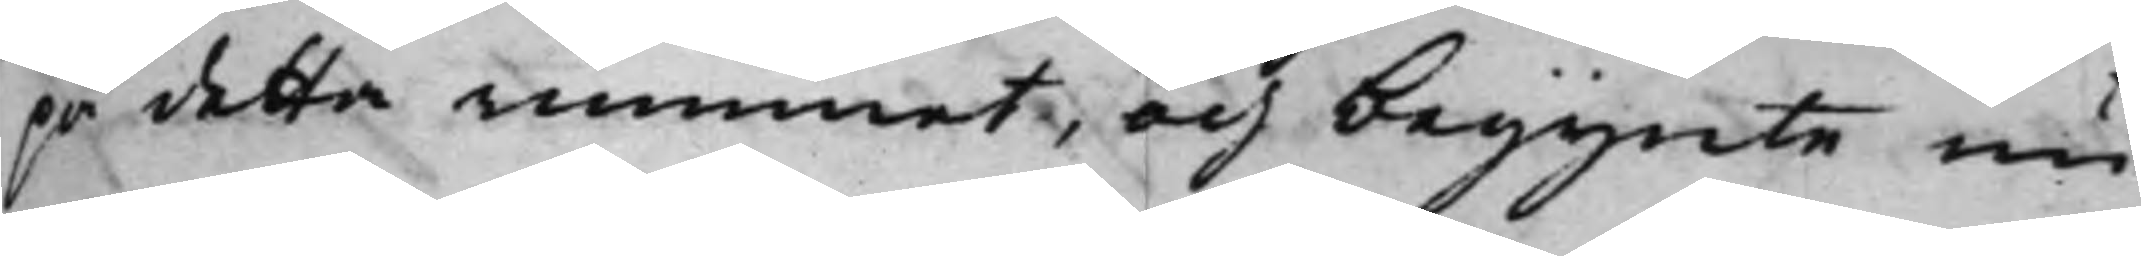på detta rummet, och begynte nu
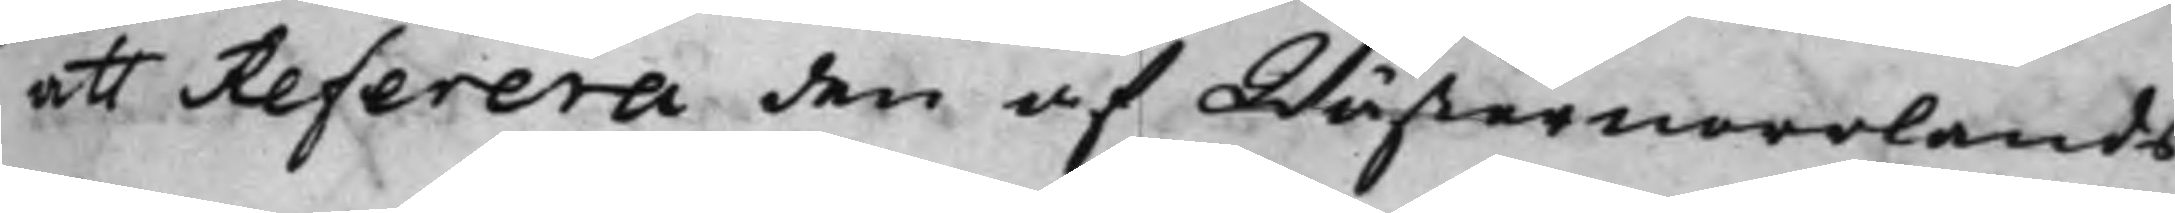att Referera den af Wästernorrlands
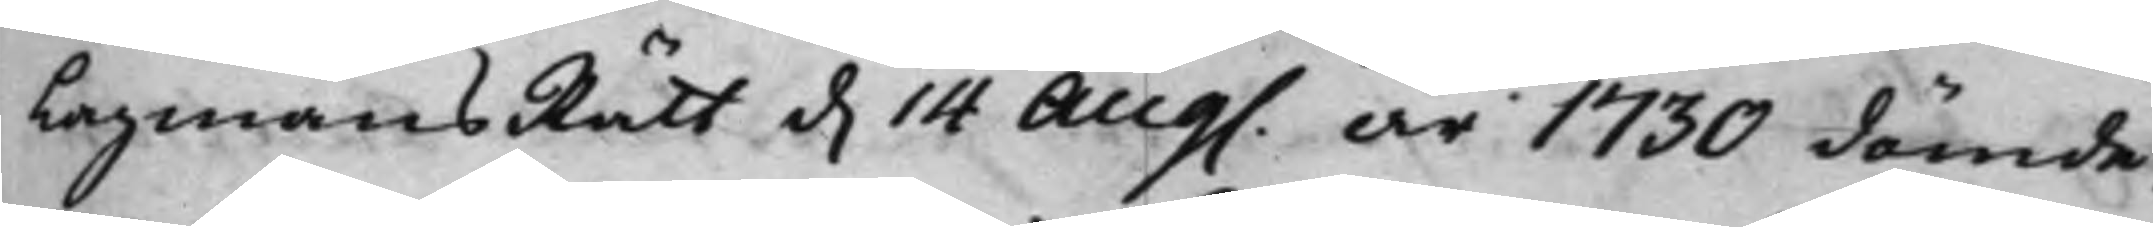LagmansRätt d. 14 Aug. år 1730 dömde,
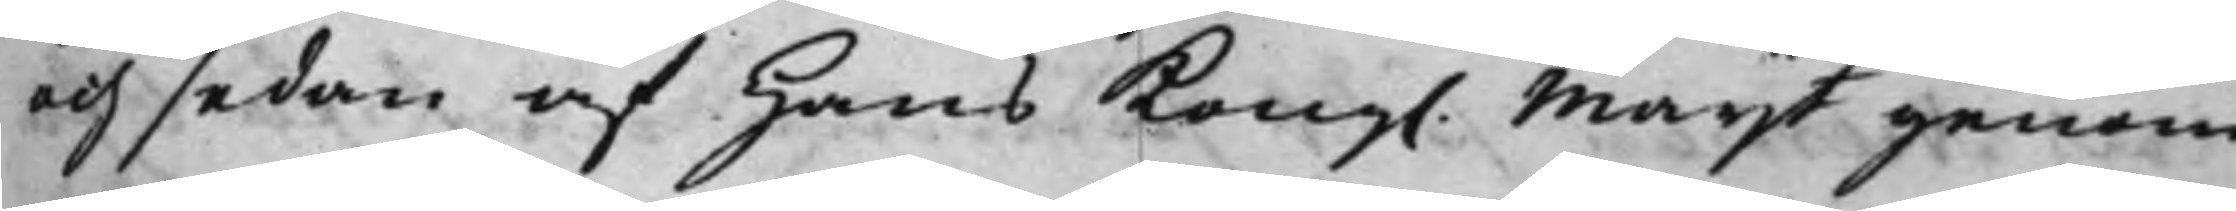och sedan af Hans Kong. Maijt genom
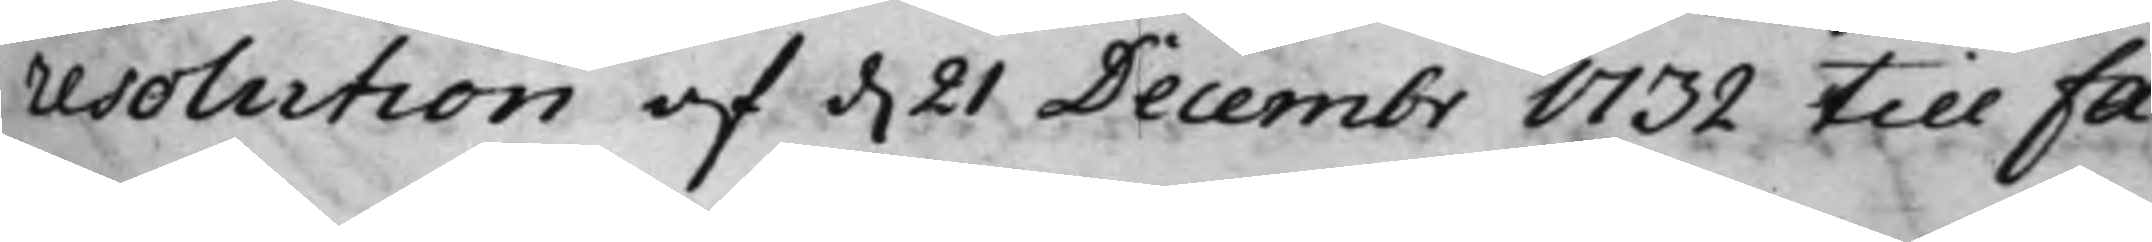resolution af d. 21 Decembr 1732 till Fa¬
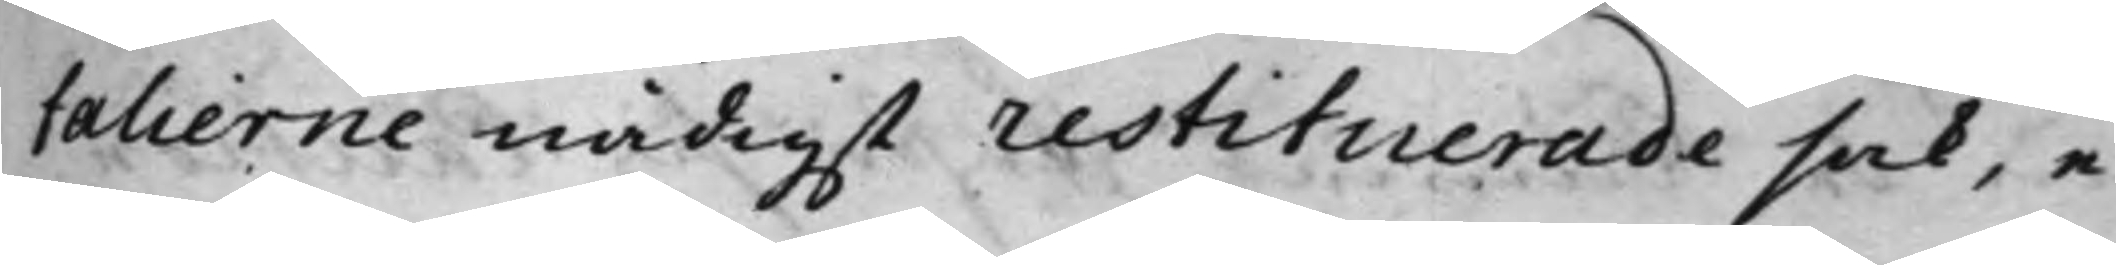talierne nådigst restituerade sak, e¬
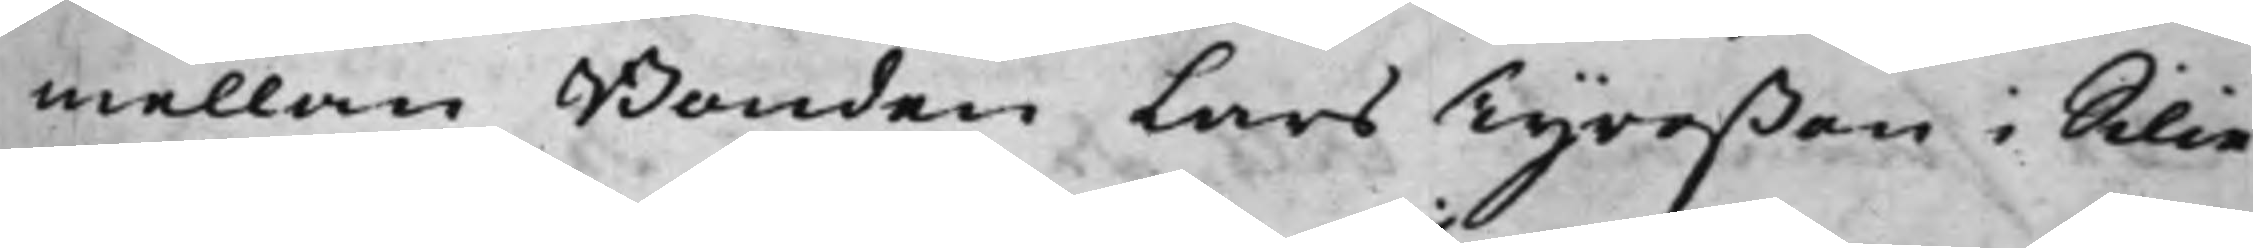mellan Bonden Lars Tyreßon i Silie
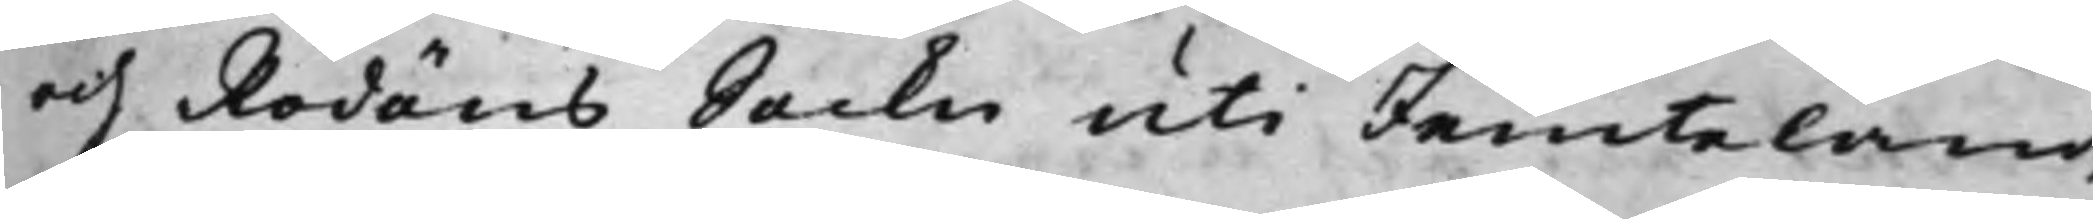och Rödöns Sockn uti Jemteland,
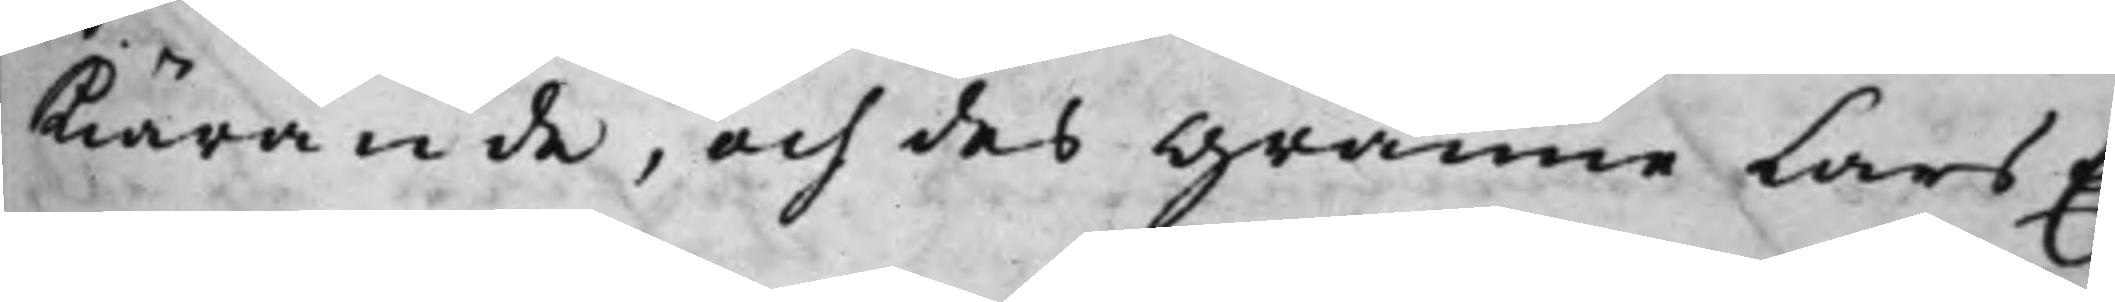Kiärande, och des Granne Lars E¬
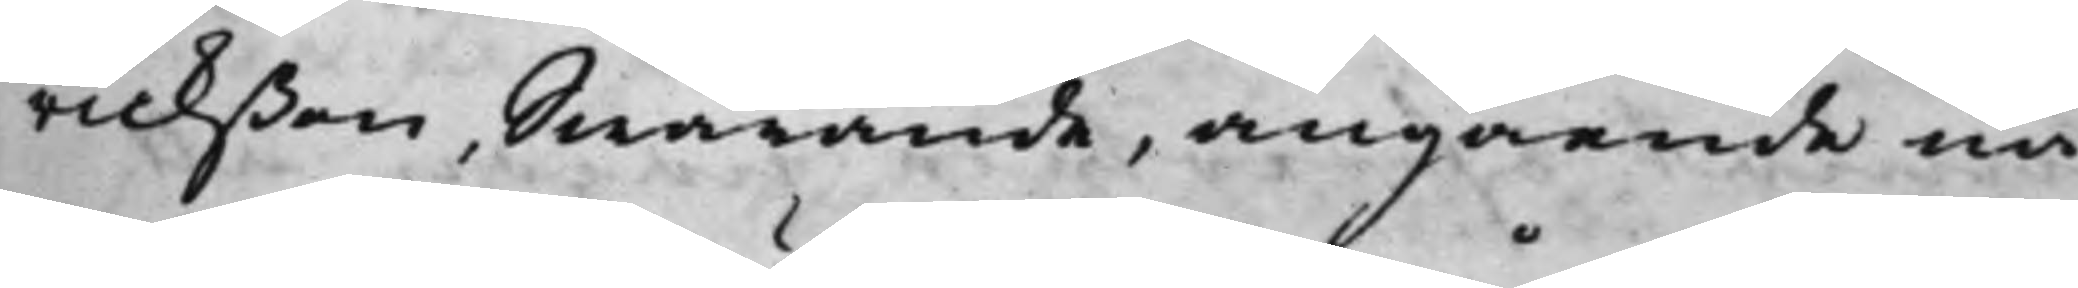rickßon, Swarande, angående nå¬
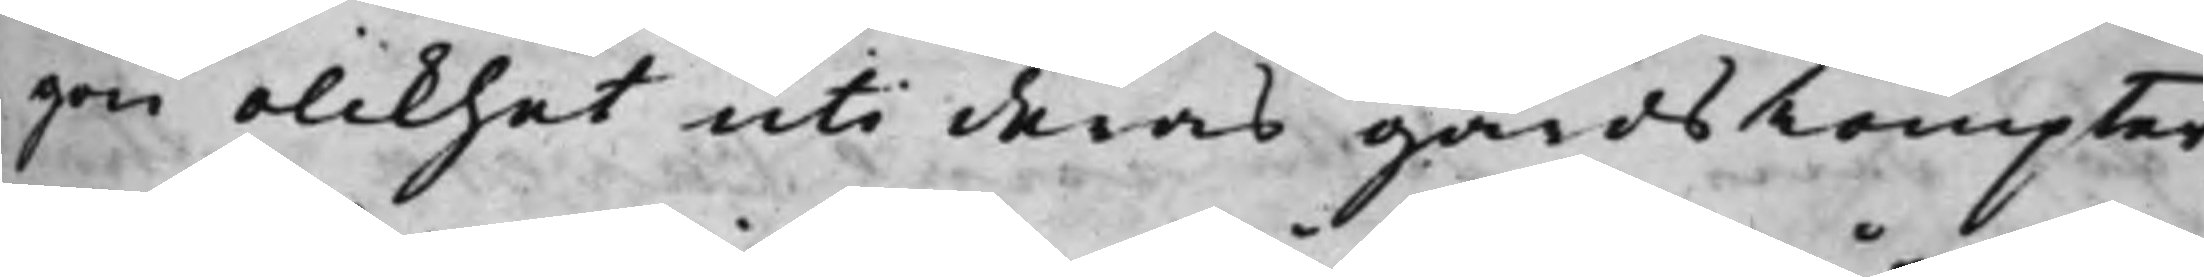gon olikhet uti deras gårds Tompter,
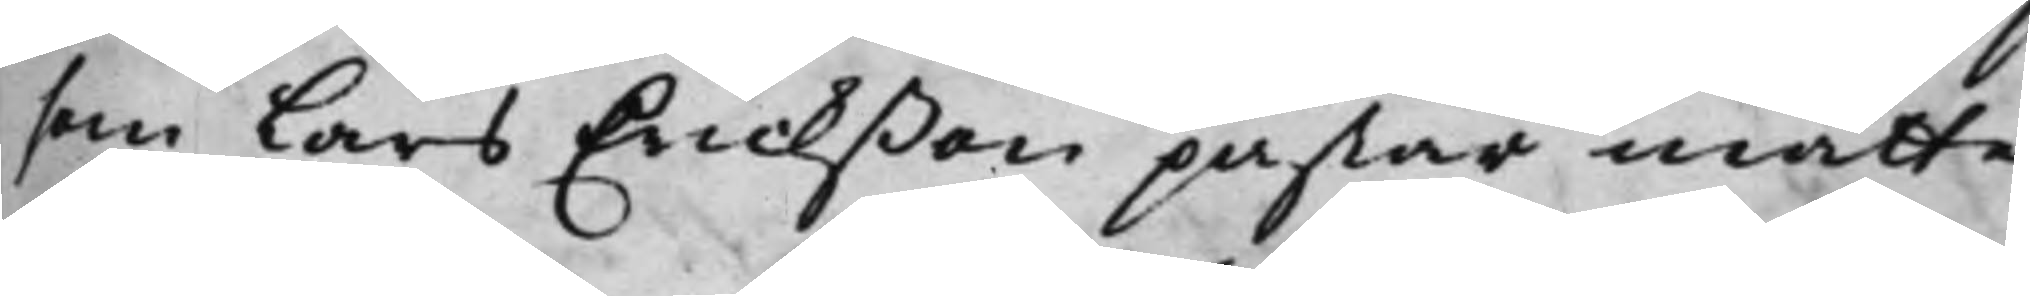som Lars Erickßon påstår måtte
